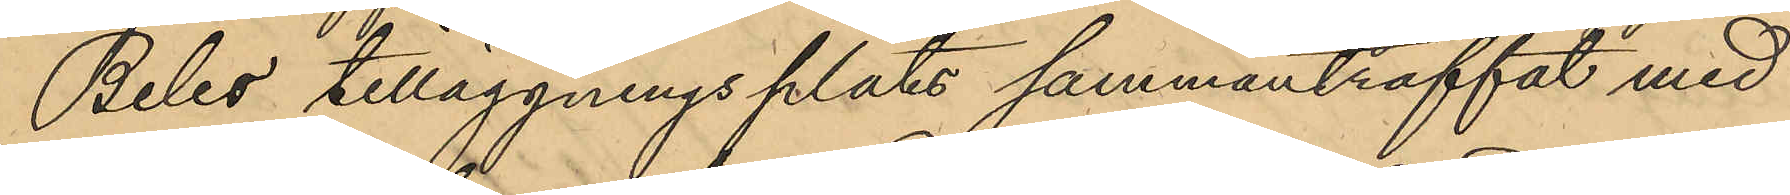Beles tilläggningsplats sammanträffat med
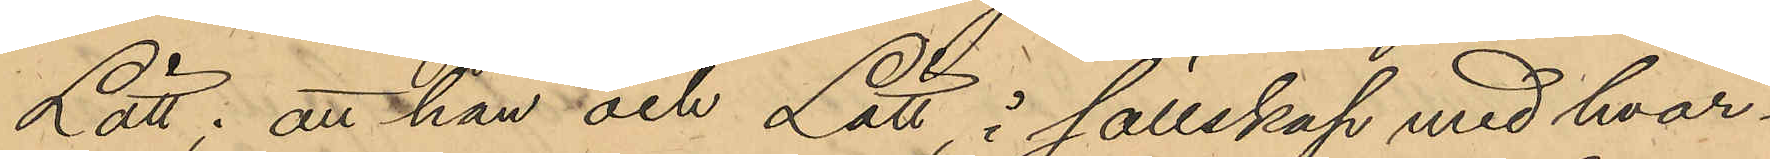Lätt; att han och Lätt i sällskap med hvar¬
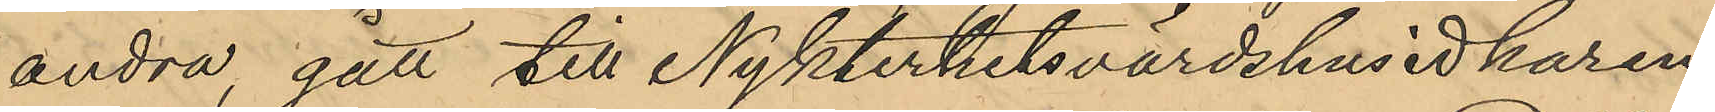andra, gått till Nykterhetsvärdshusidkaren
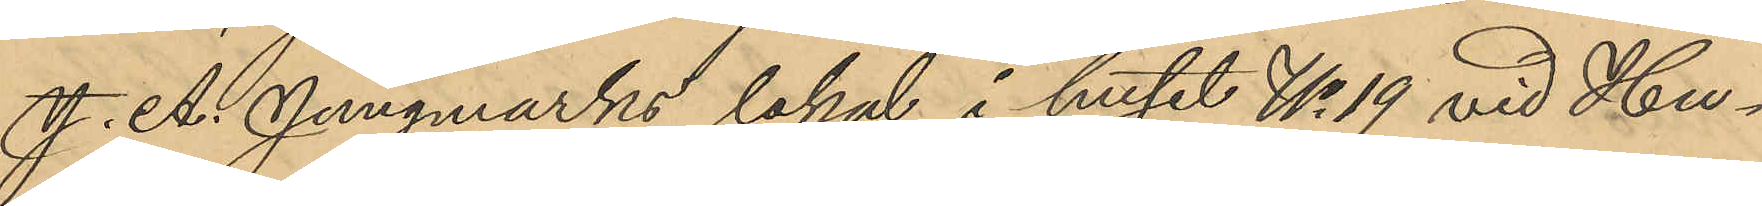J. A. Jungmarks lokal i huset No 19 vid Hu¬
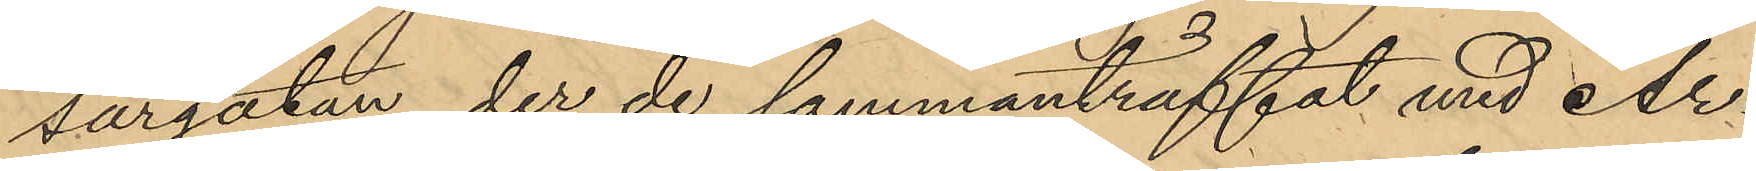sargatan, der de sammanträffat med Ar¬
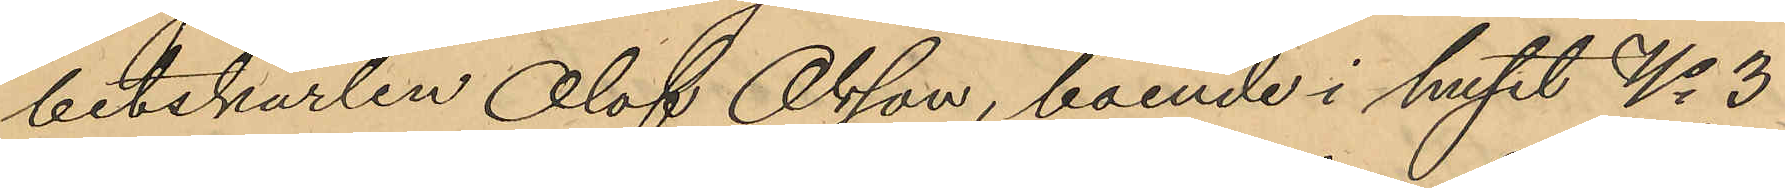betskarlen Olof Olsson, boende i huset No 3
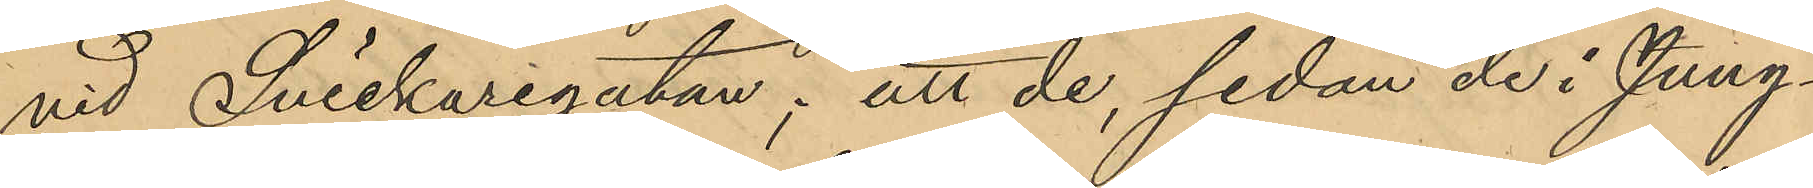vid Snickaregatan; att de, sedan de i Jung¬
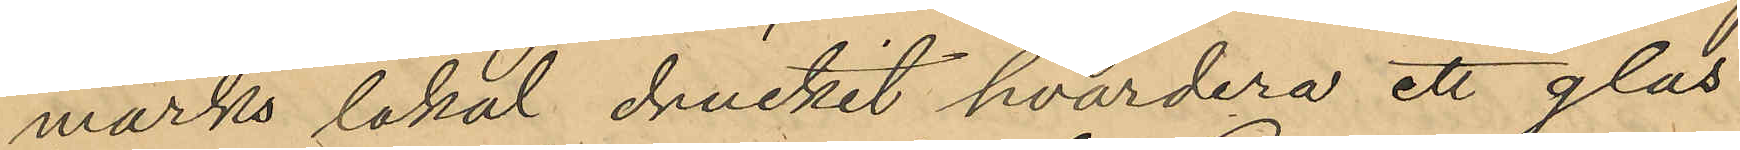marks lokal druckit hvardera ett glas
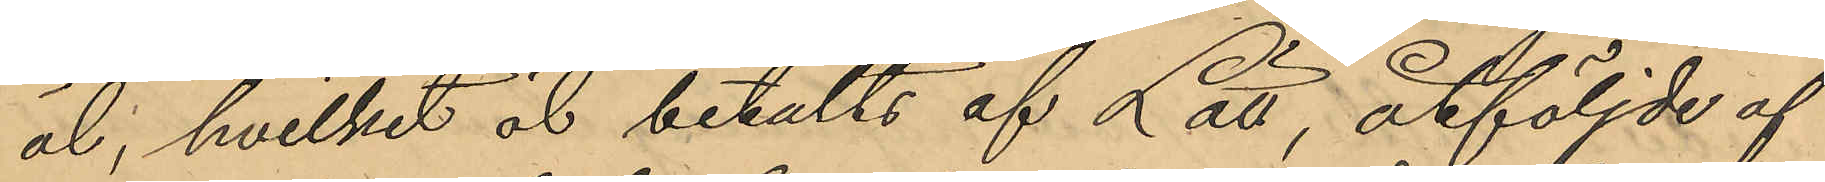öl, hvilket öl betalts af Lätt, åtföljde af
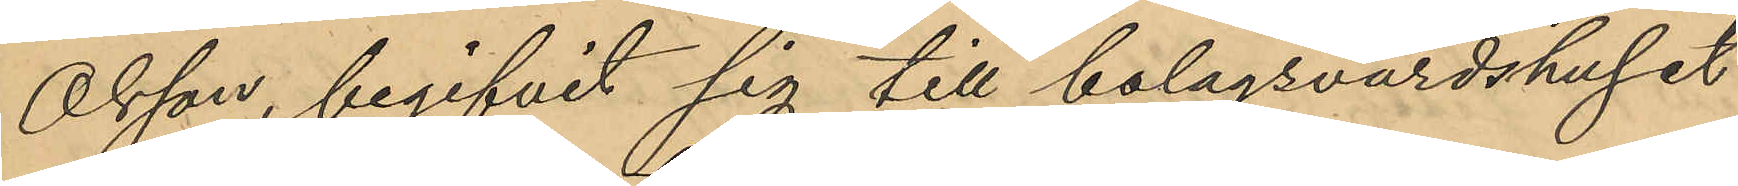Olsson, begifvit sig till bolagsvärdshuset
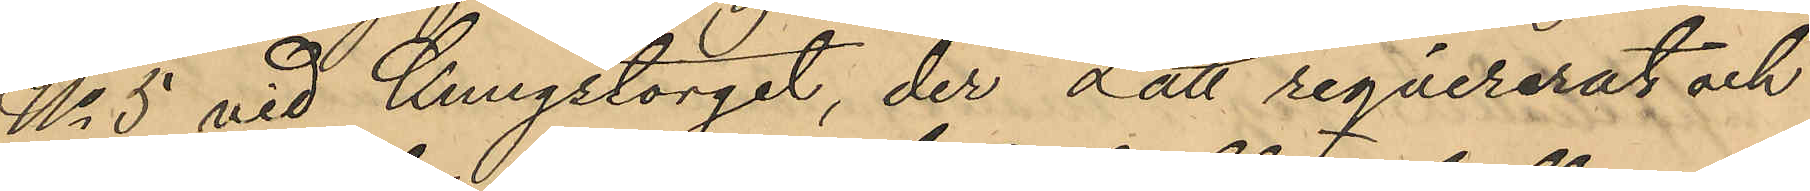No 5 vid Kungstorget, der Lätt reqvirerat och
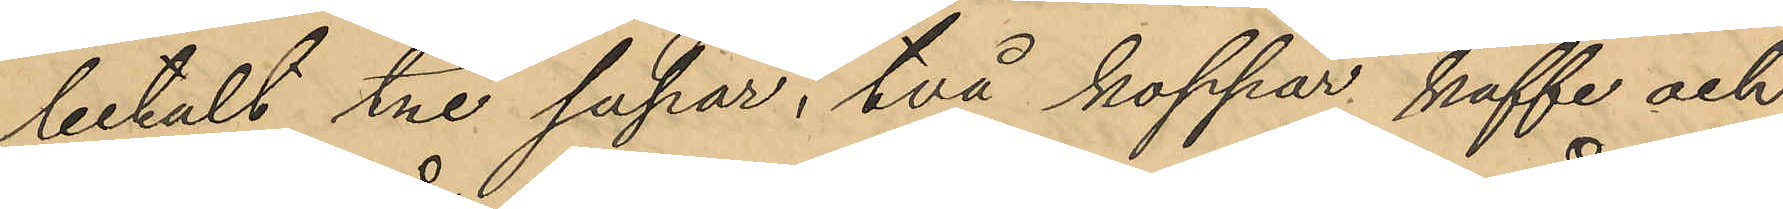betalt tre supar, två koppar kaffe och
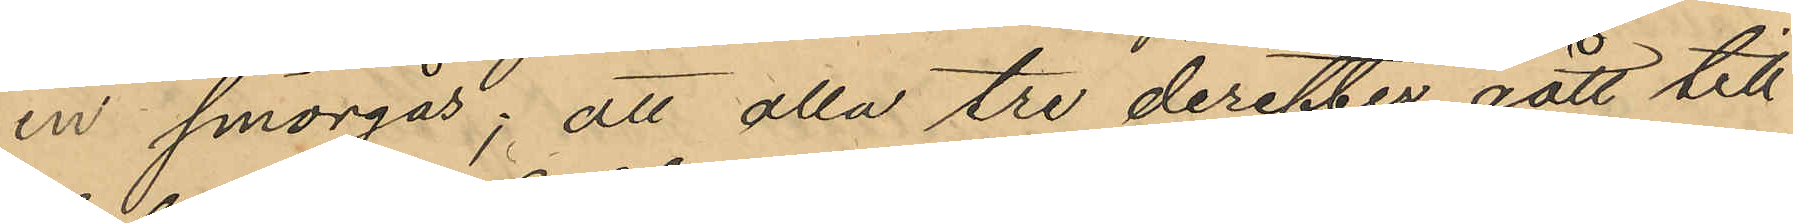en smörgås; att alla tre derefter gått till
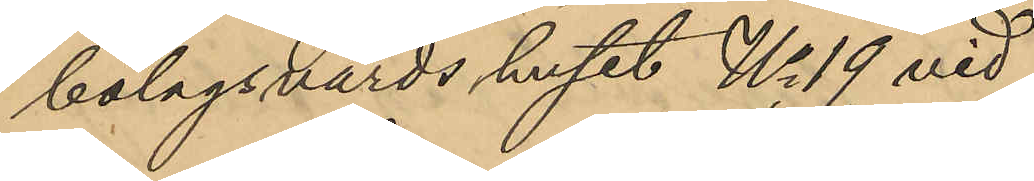bolagsvärds huset No 19 vid
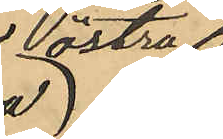Västra
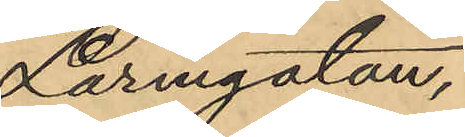Larmgatan,
